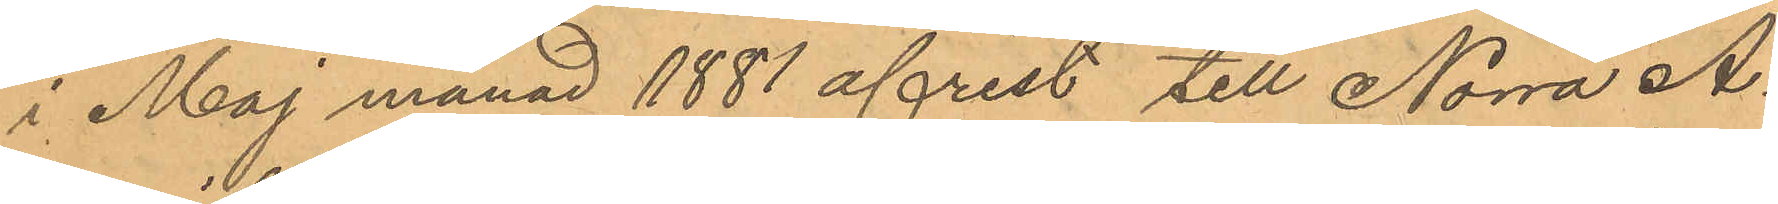i Maj månad 1881 afrest till Norra A¬
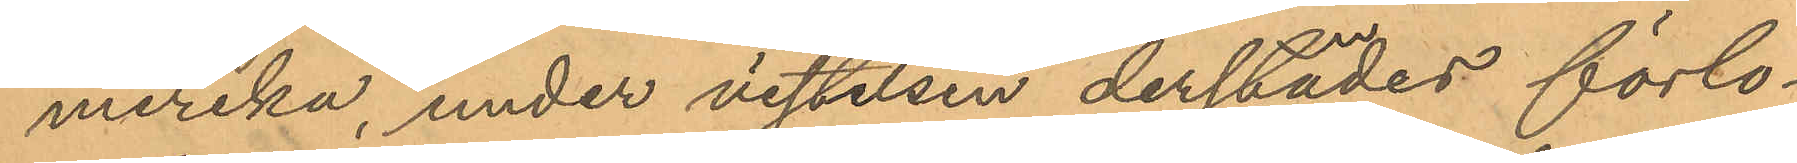merika, under vistelsen derstädes förlo¬
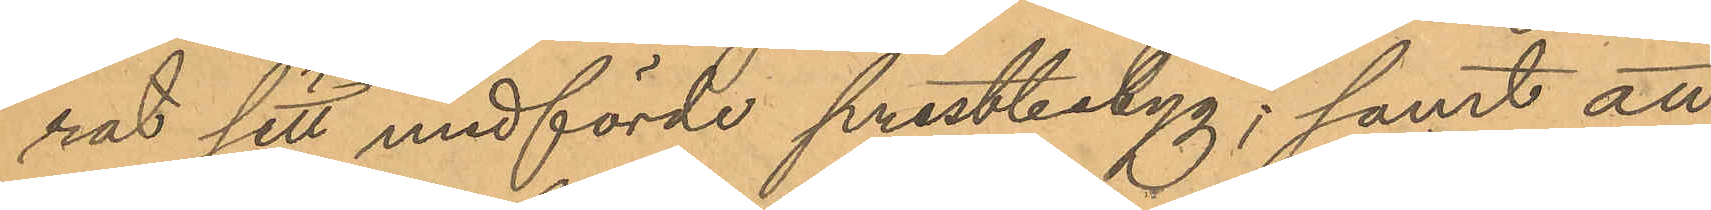rat sitt medförde prestbetyg; samt att
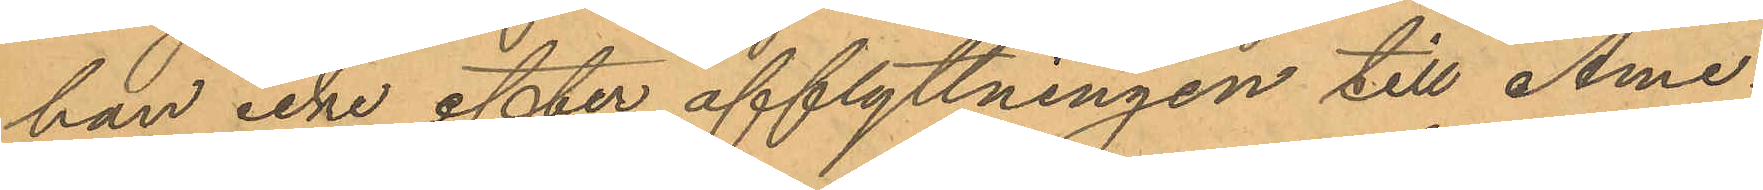han icke efter afflyttningen till Ame¬
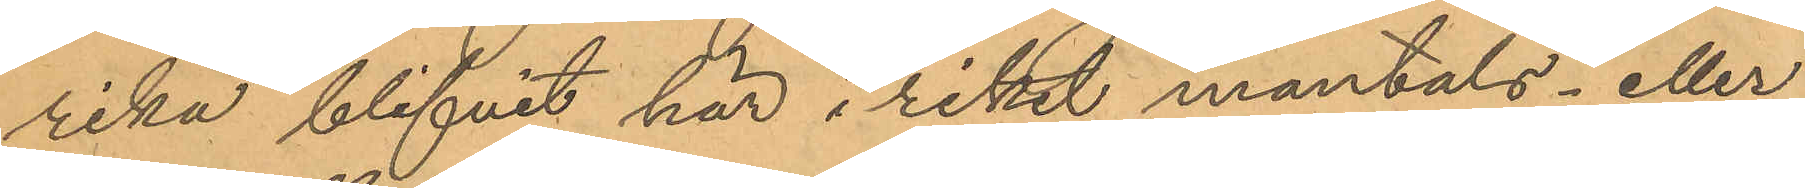rika blifvit här i riket mantals- eller
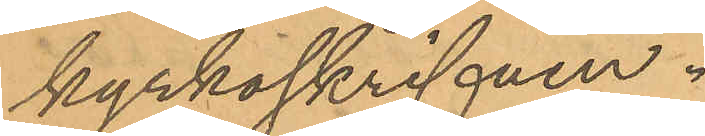kyrkoskrifven.
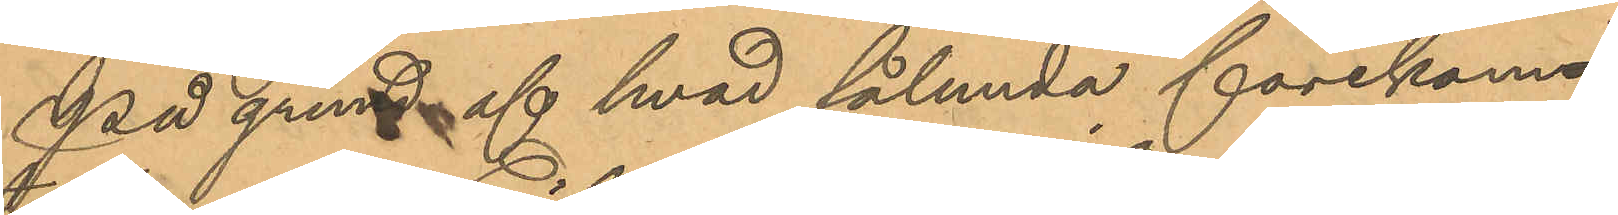På grund af hvad sålunda förekom¬
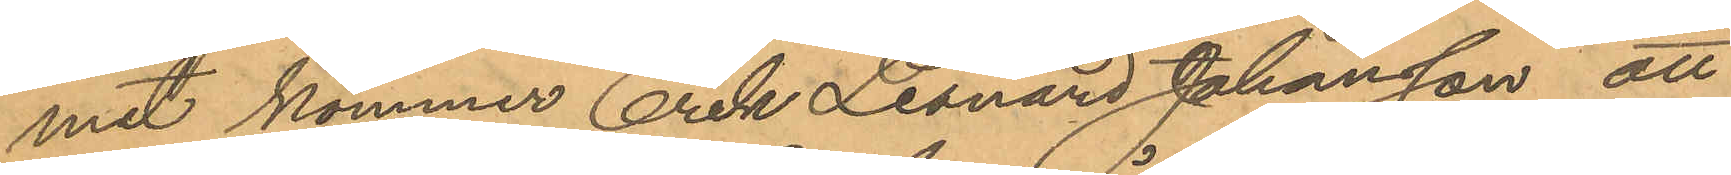mit kommer Erik Leonard Johansson att
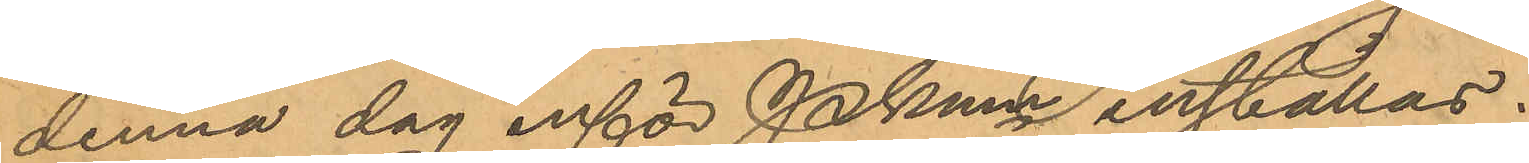denna dag inför Pkmn inställas.
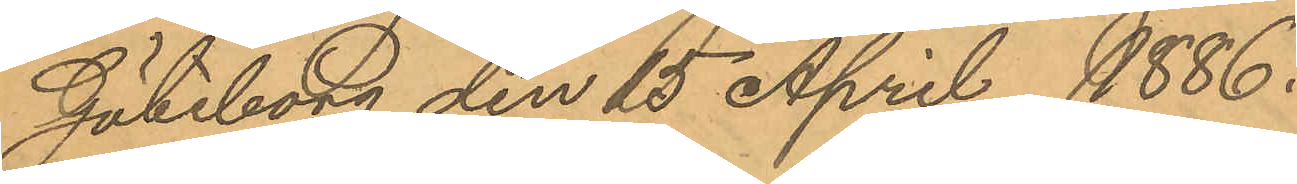Göteborg den 25 April 1886.
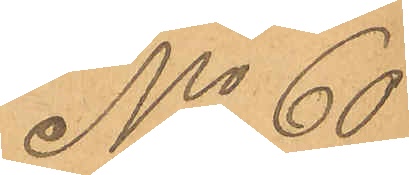No 60
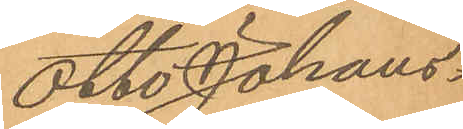Otto Johans¬
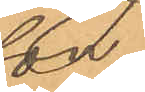son
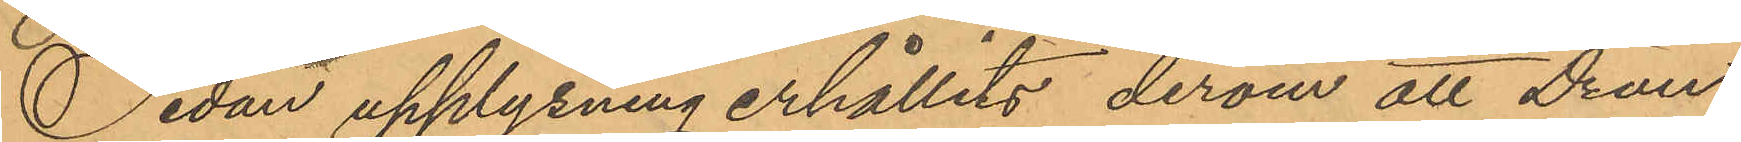Sedan upplysning erhållits derom att Drän¬
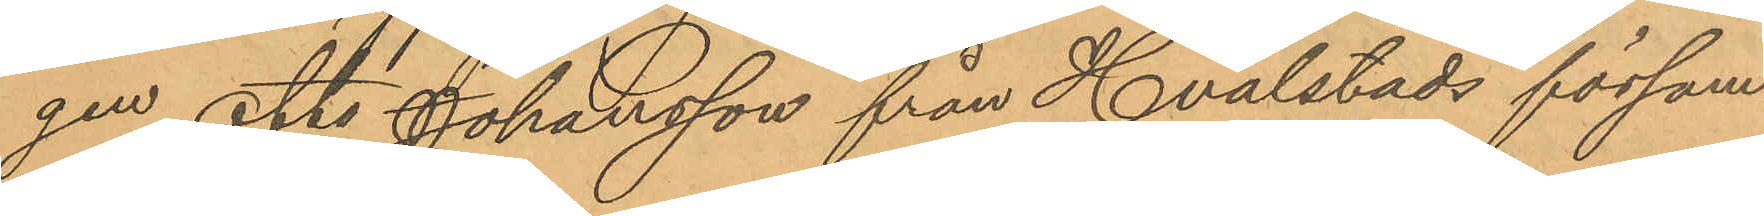gen Otto Johansson från Hvalstads försam¬
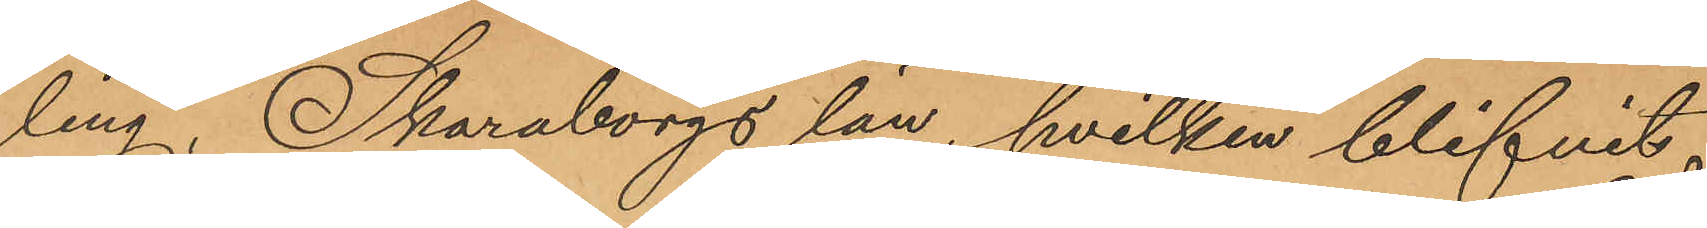ling, Skaraborgs län, hvilken blifvit
